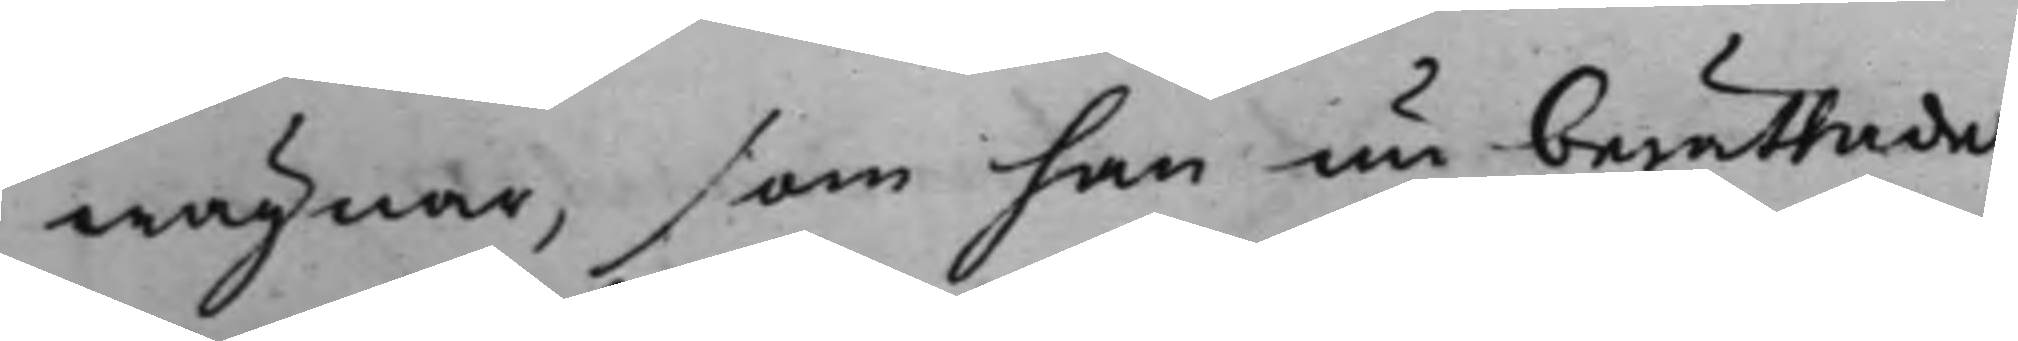wägnar, som han nu berättade
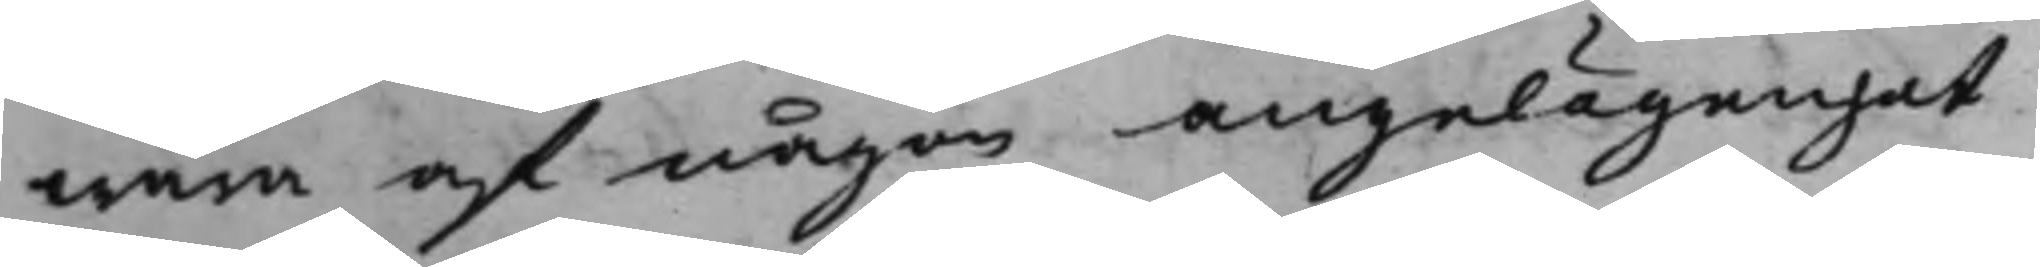wara af någon angelägenhet
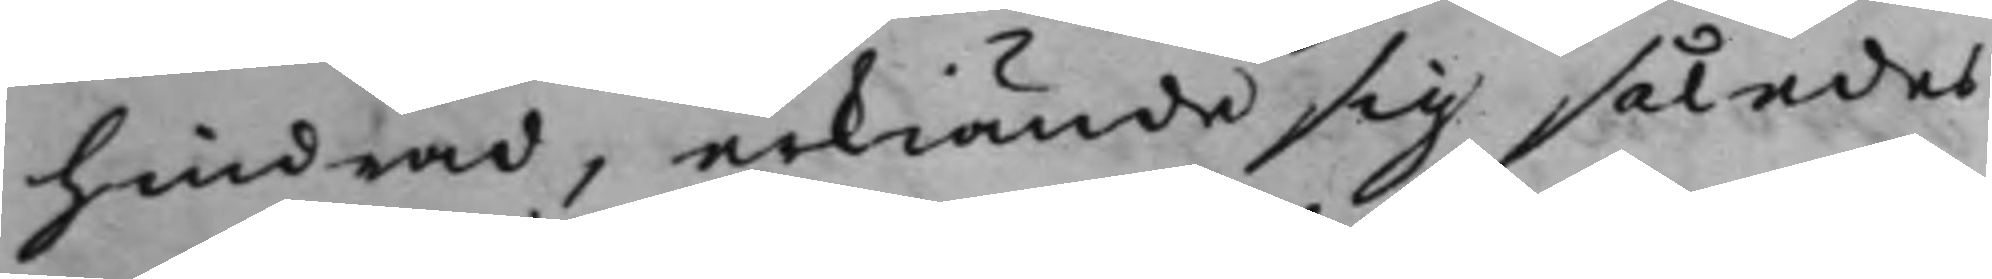hindrad, erkiände sig således
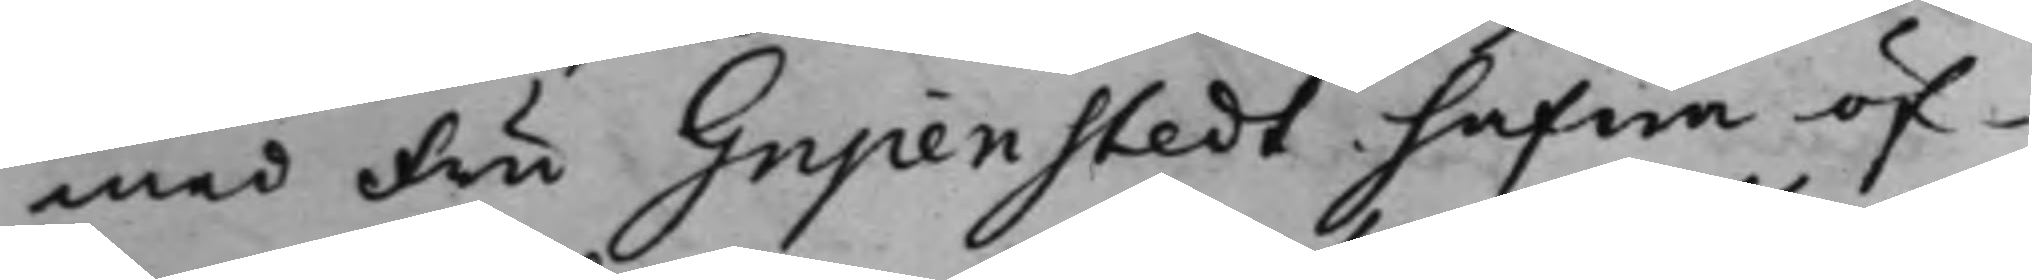med Fru Gripenstedt hafwa öf¬
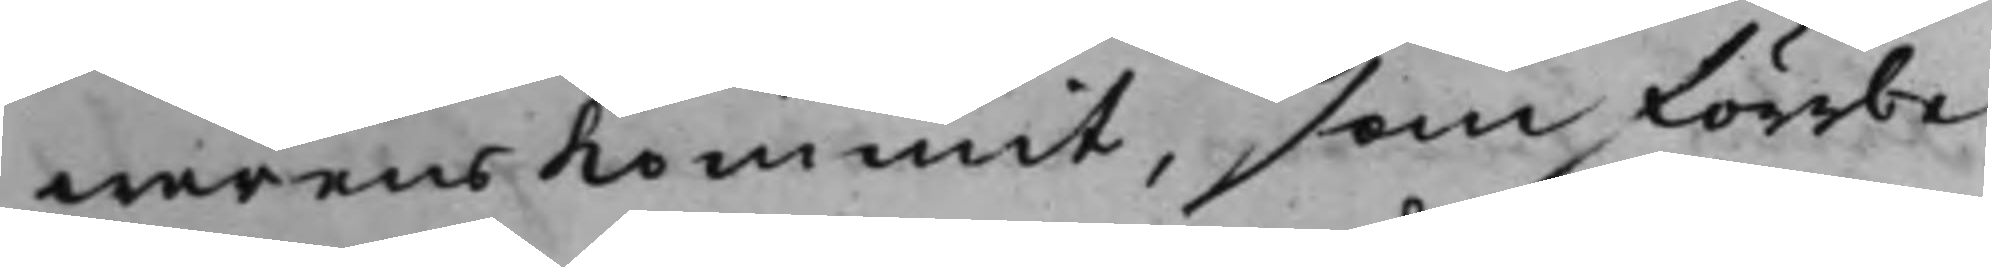werenskommit, som förrbe¬
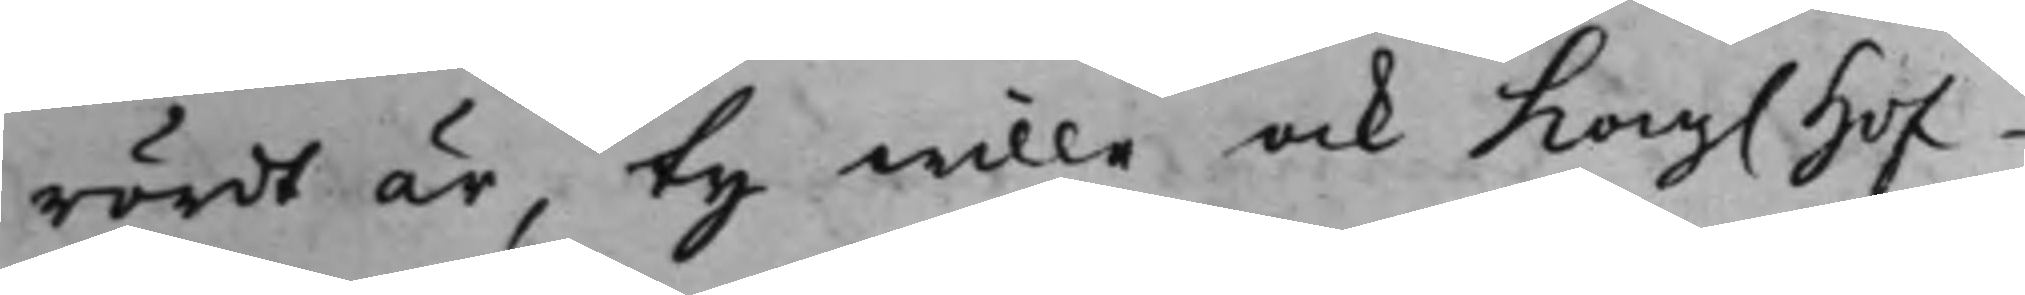rördt är, ty wille ock Kong. Hof¬
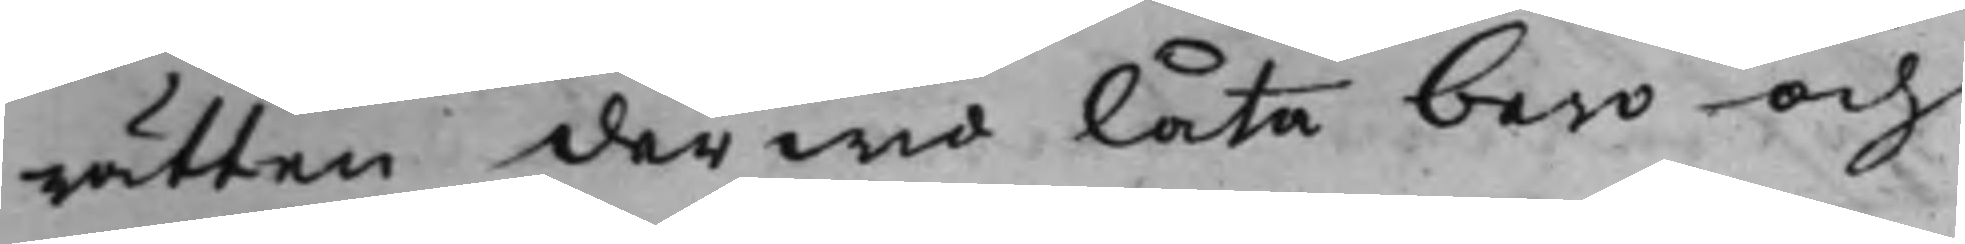rätten derwid låta bero och
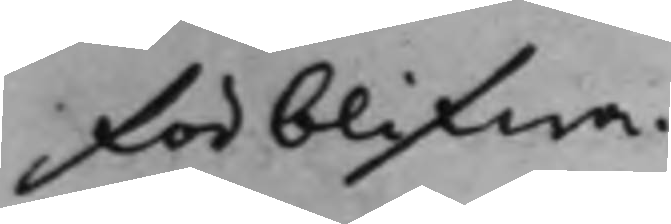förblifwa.
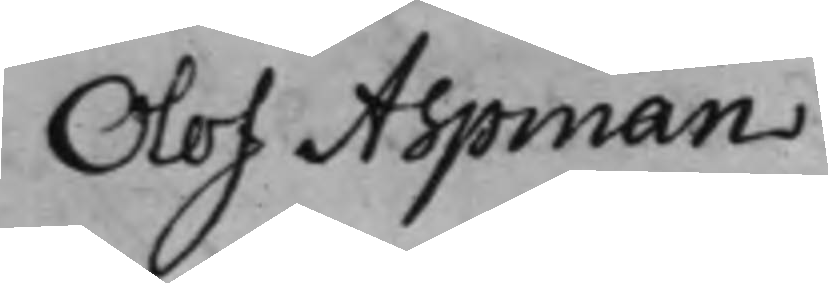Olof Aspman
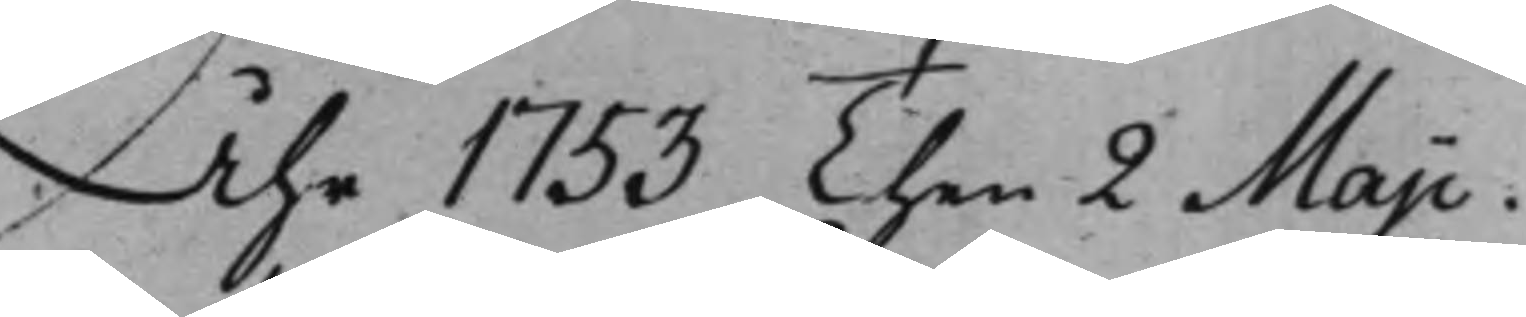Åhr 1753 Then 2 Maji.
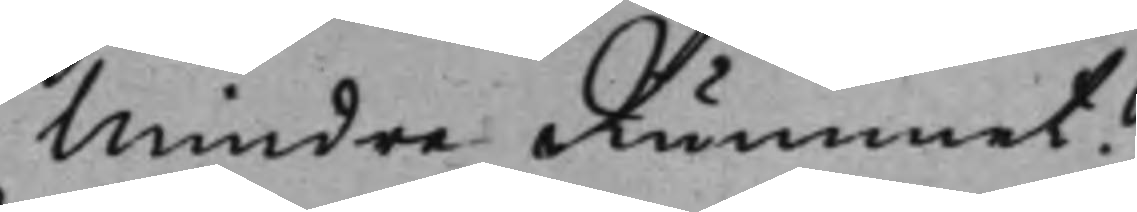Mindre Rummet
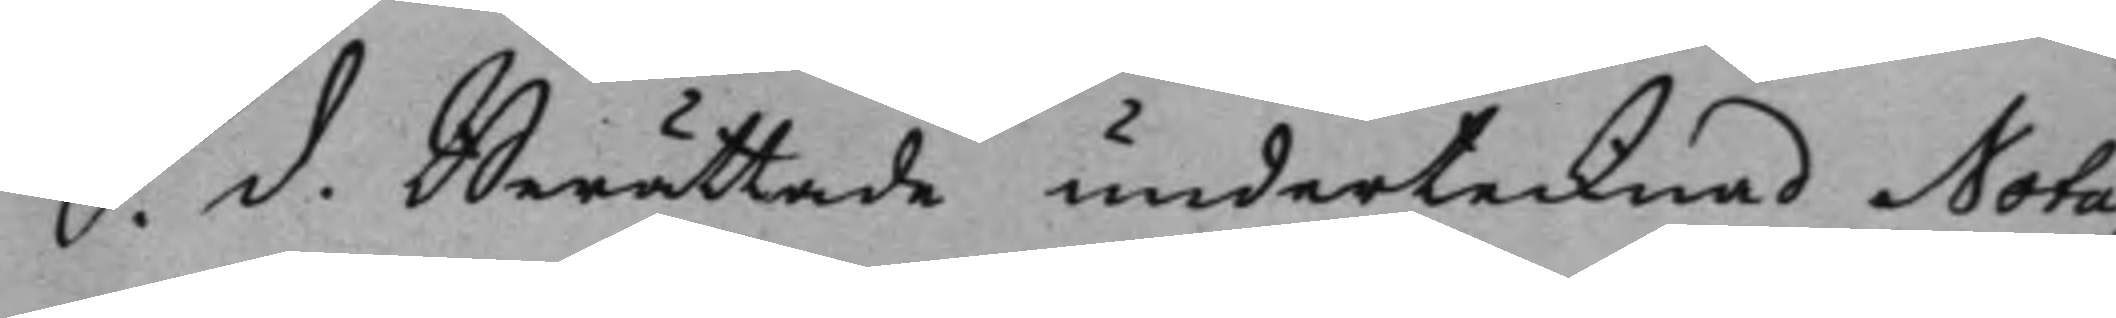S. d. Berättade undertecknad Nota¬ 
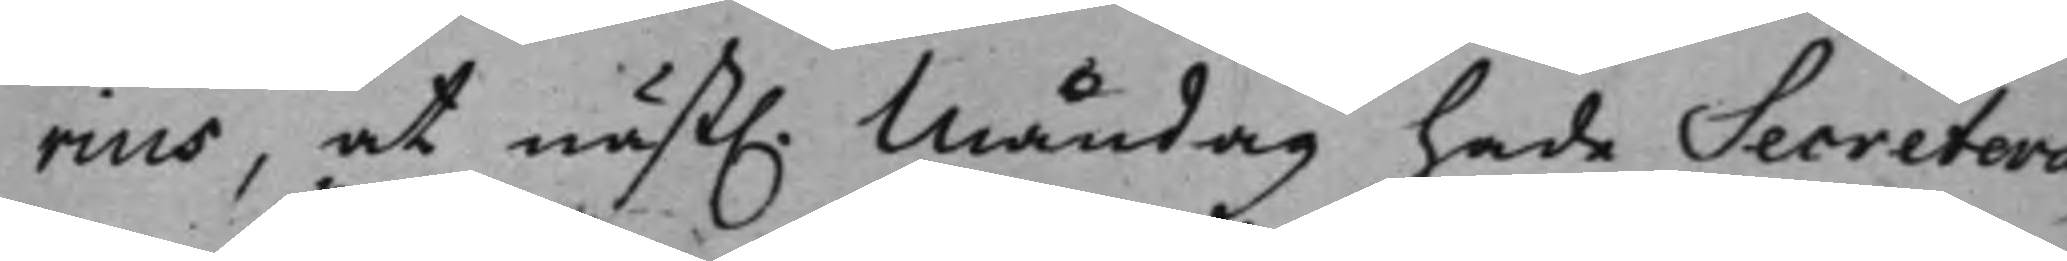rius, at näst. Måndag hade Secretera¬ 
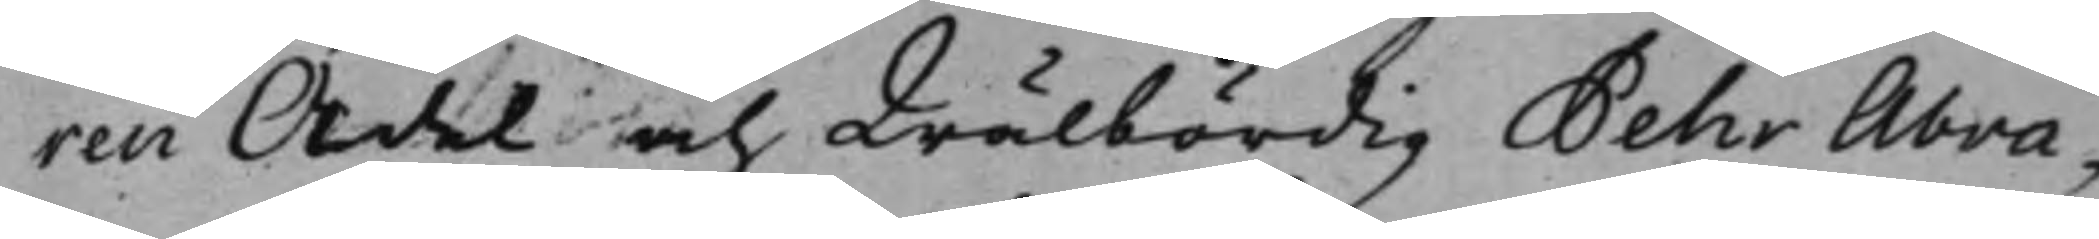ren Ädel och Wälbördig Pehr Abra¬
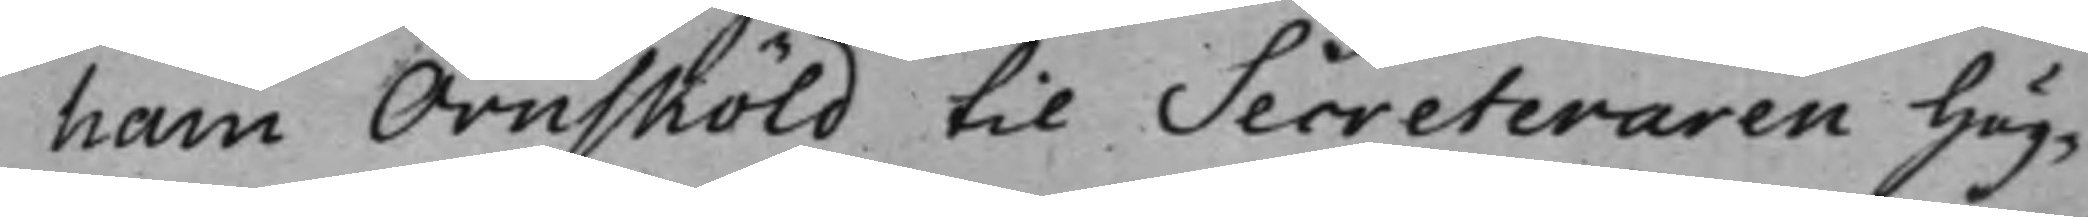ham Örnsköld til Secreteraren Hög¬
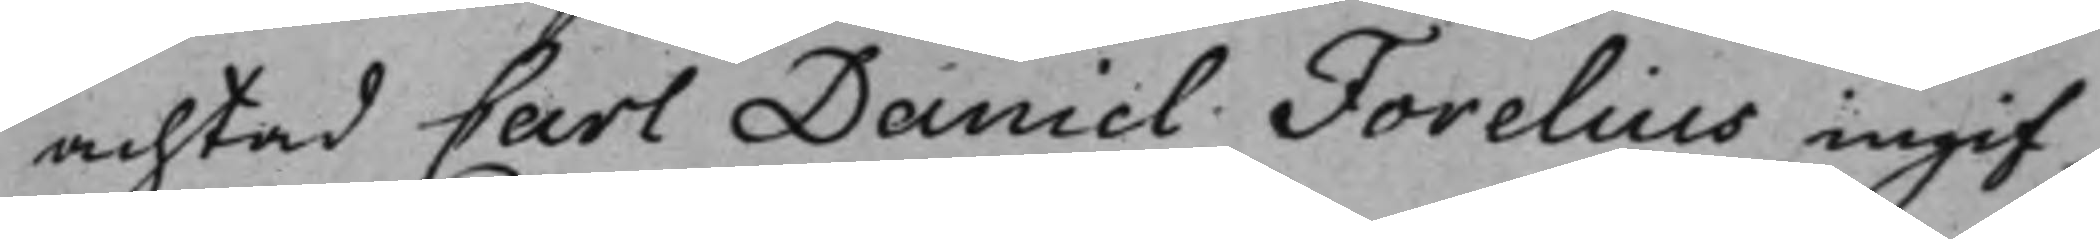achtad Carl Daniel Forelius ingif¬
